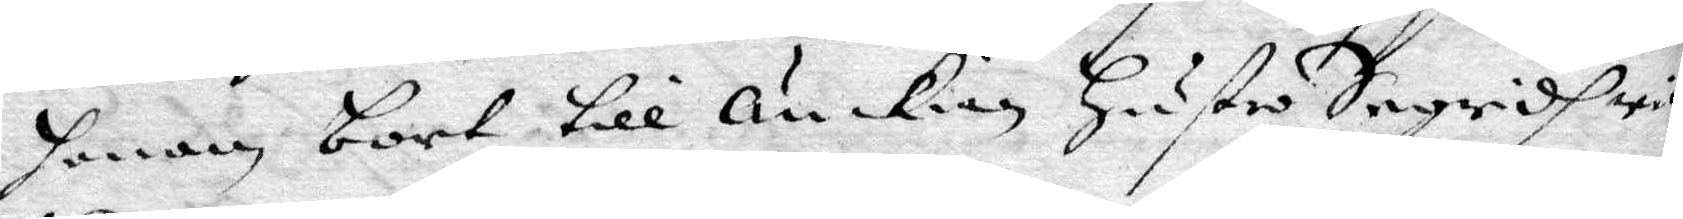honom bort till änkian Hustro Ingridh wid
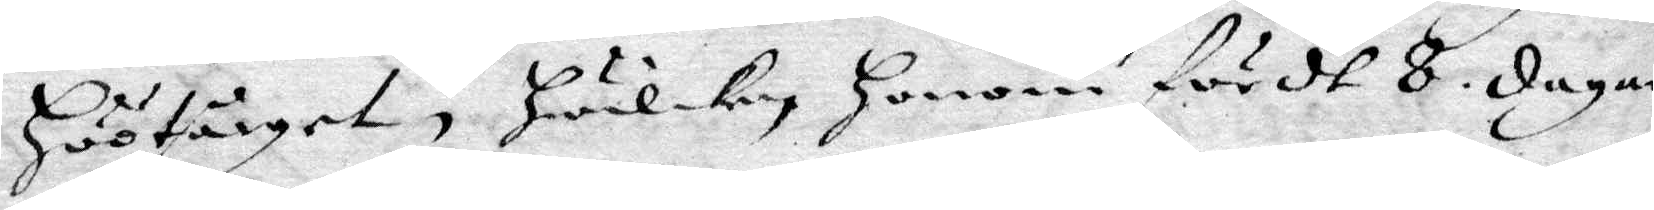Höötårget, Hwilken Honom fördt 8. dagar
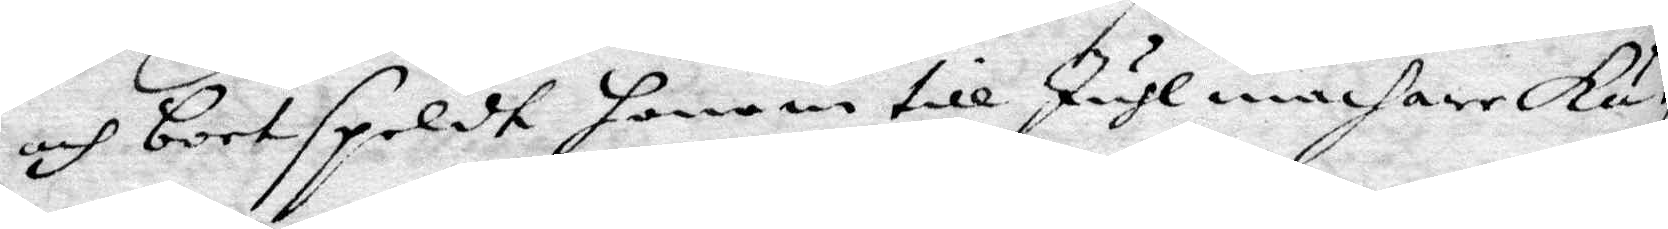och bortspeldt honom till JuhlmachareKä¬
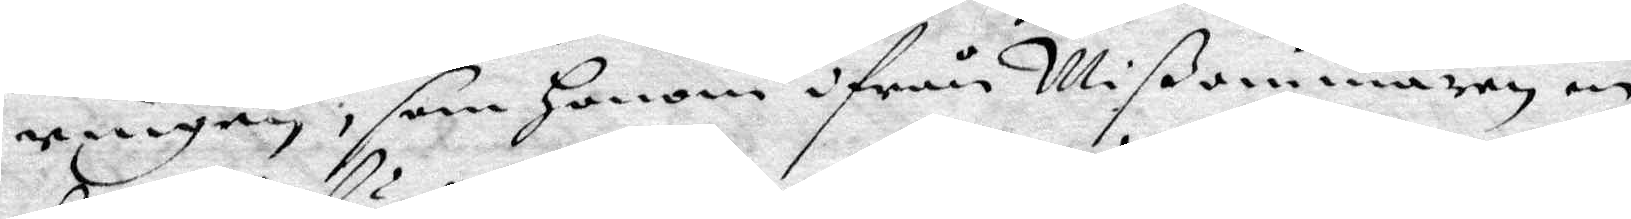ringen, som Honom ifrån Mißommaren in
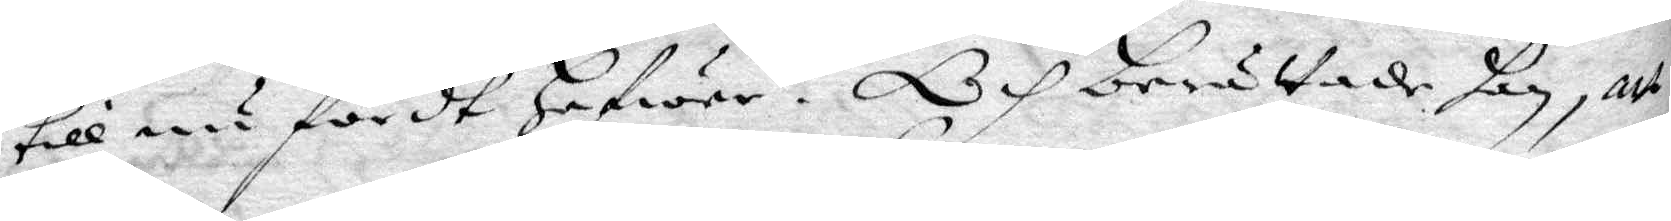till nu fördt Hafwer. Och berättade han, att
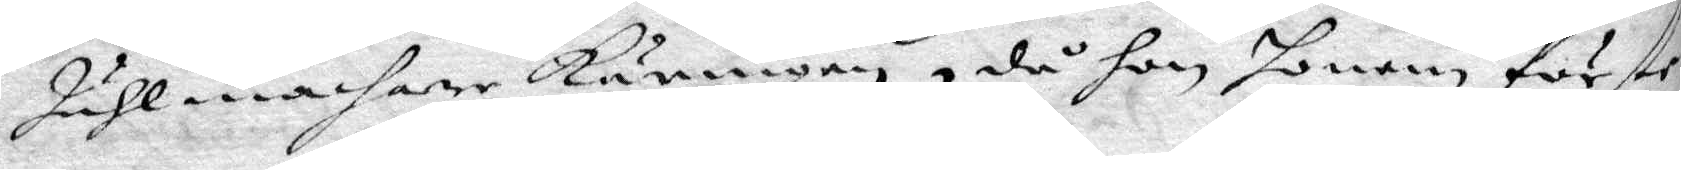Juhlmachare Käringen, då hon honom förste
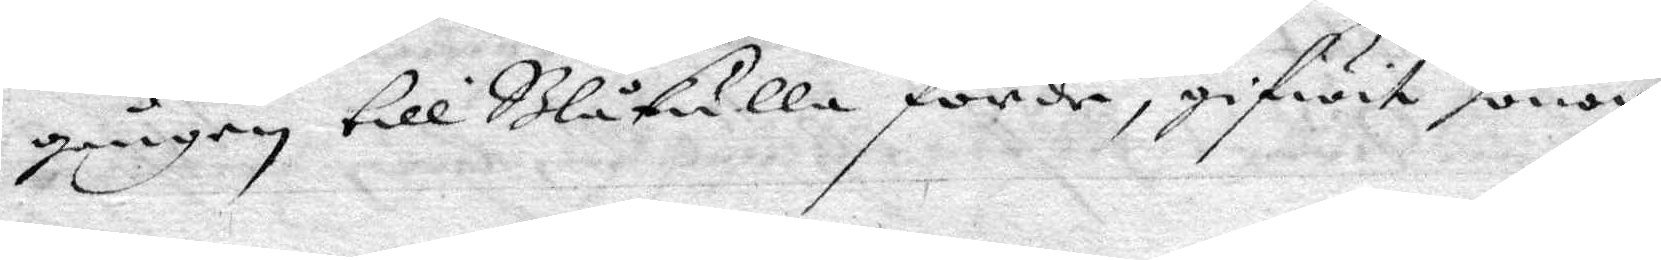gången till Blåkulla förde, gifwit honom
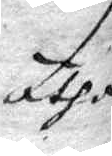ätha
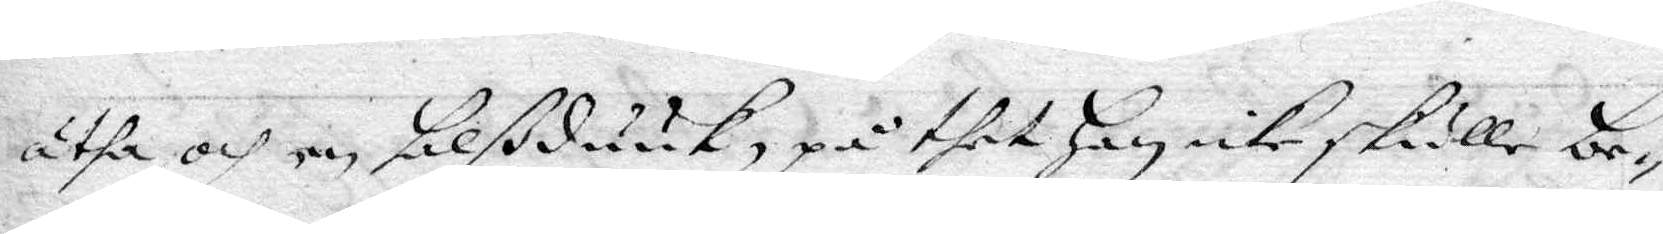ätha och en blßduuk, på thet Han icke skulle be¬
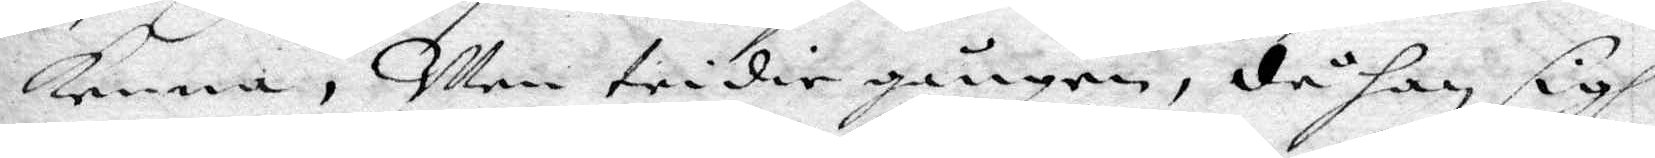Kenna, Men tridie gången, då han sigh
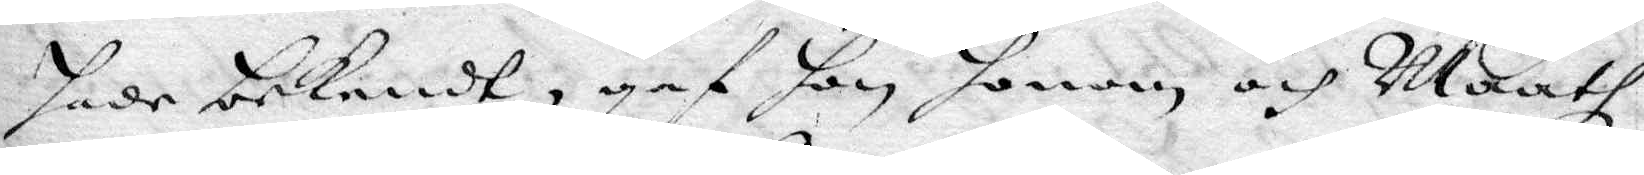hade bekendt, gaf hon honom och Maath
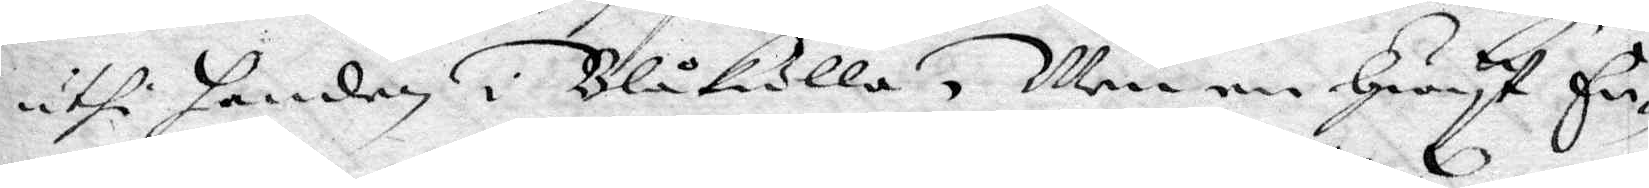uthi handen i Blåkulla, Men en Gust En¬
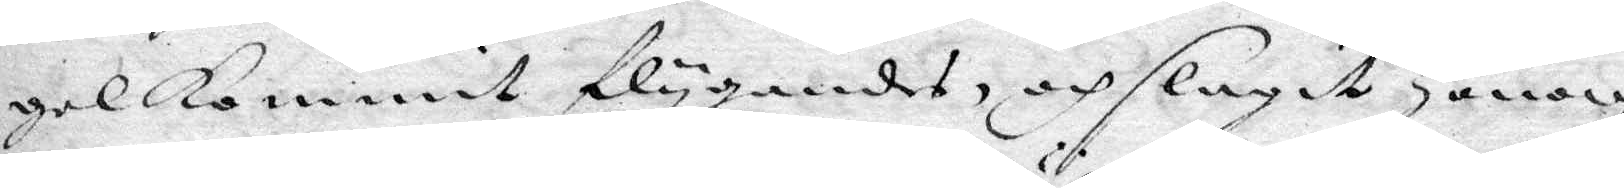gel Kommit flygandes, och slagit Honom
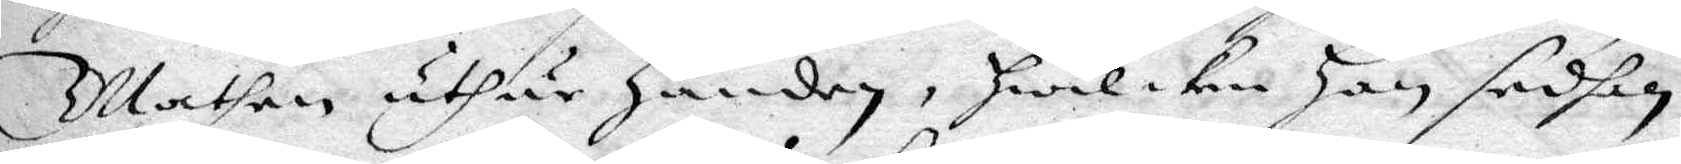Mathen uthur Handen, hwilken Han sedhan
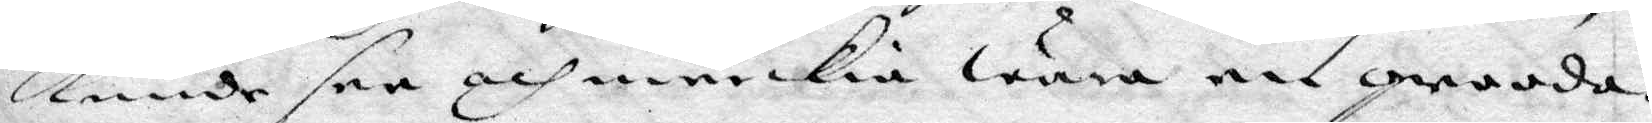Kunde see och märkia wara en grooda.
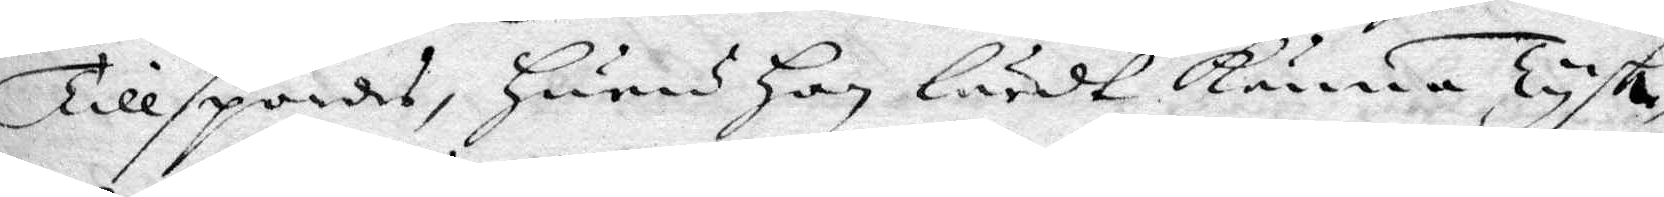Tillspordes, Huem Han lärdt Känna Tysk¬
